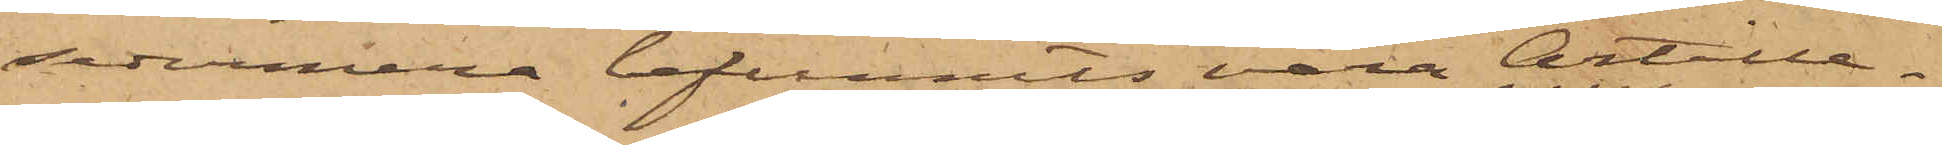sedermera befunnits vara Artille¬
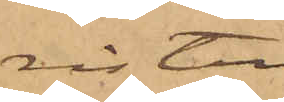risten
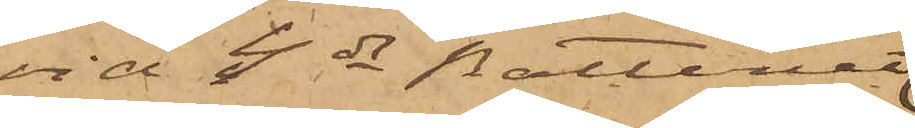vid 4de Batteriet
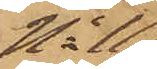No 11
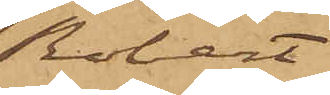Robert
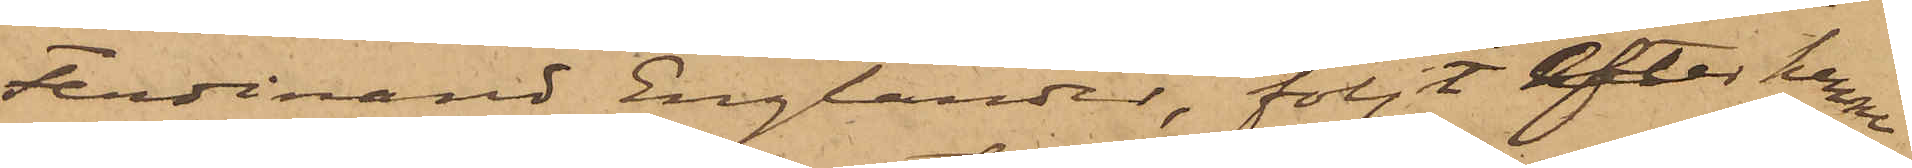Ferdinand Englander, följt efter henne
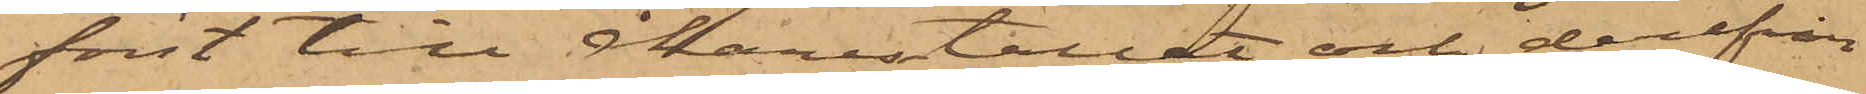först till åkarestallet och derifrån
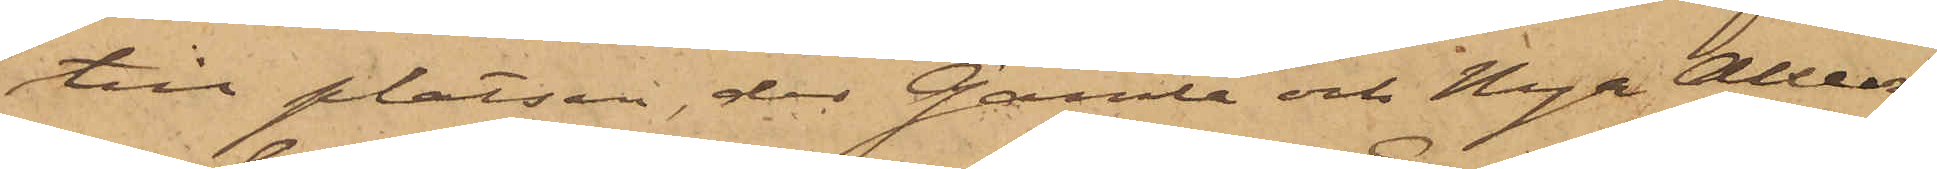till platsen, der Gamle och Nya Alléer¬
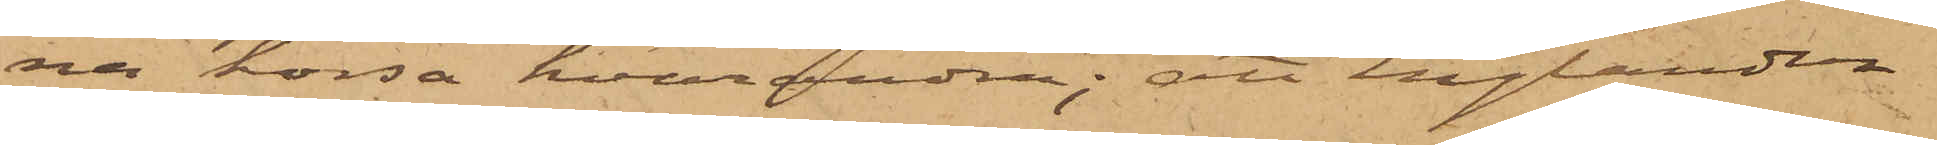na korsa hvarandra; att Englander
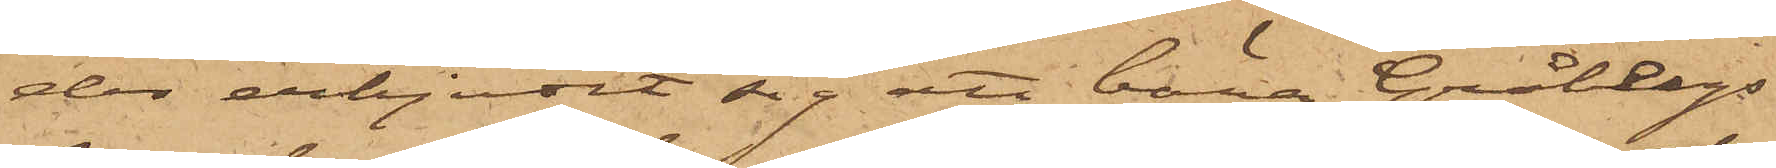der erbjudit sig att bära Gråbergs
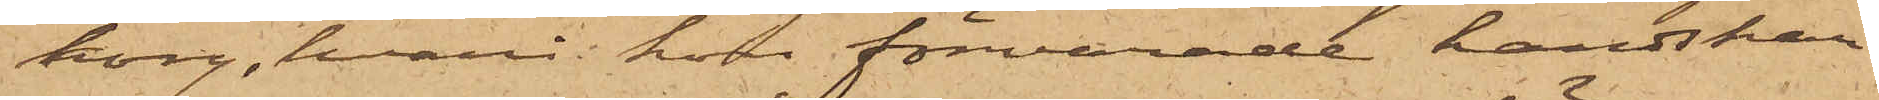korg, hvari hon förvarade handskar¬
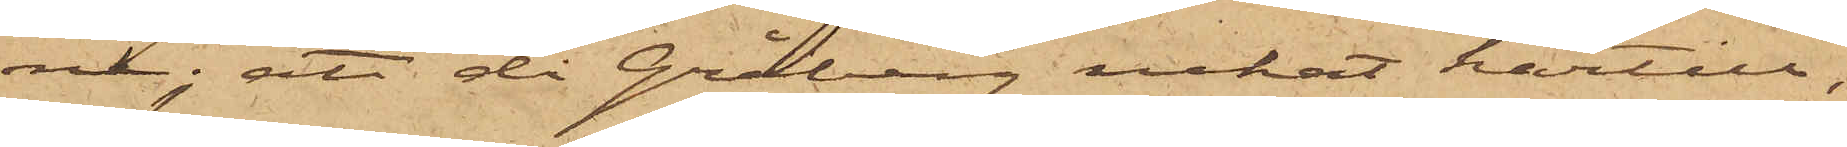ne; att då Gråberg nekat härtill,
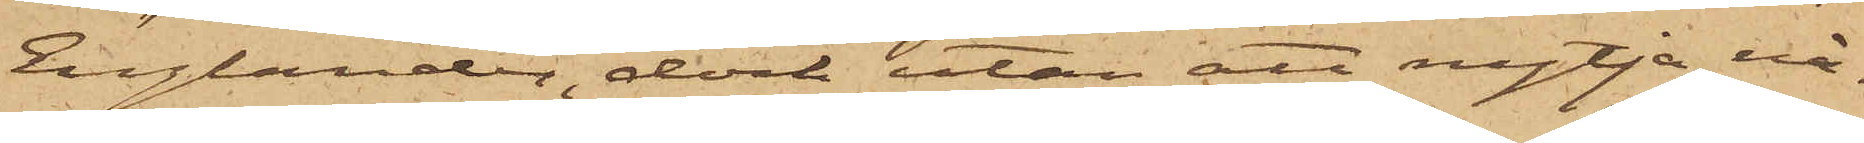Englander, dock utan att nytja nå¬
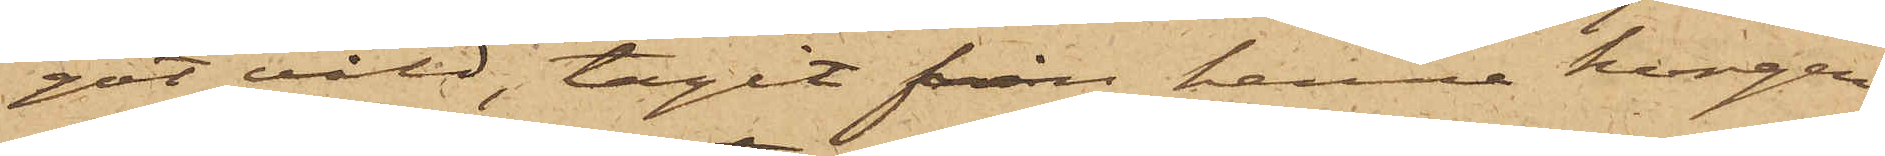got våld, tagit från henne korgen
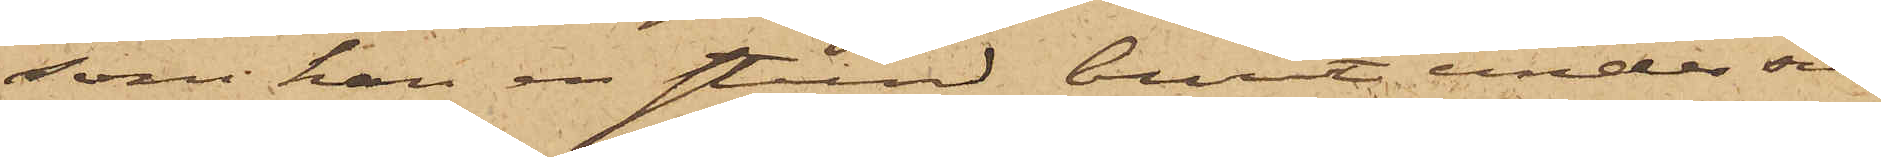som han en stund burit under sin
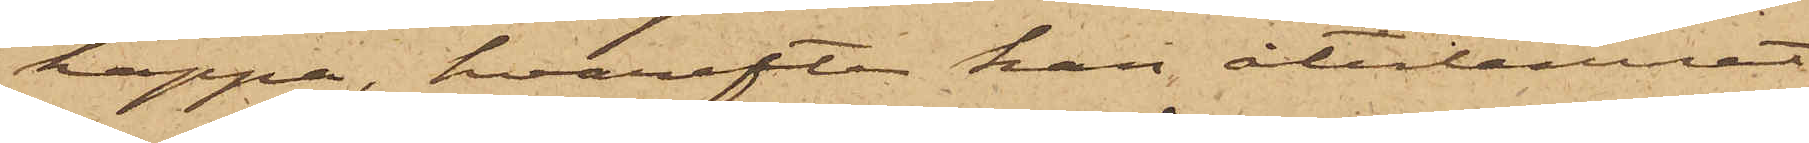kappa, hvarefter han återlemnat
